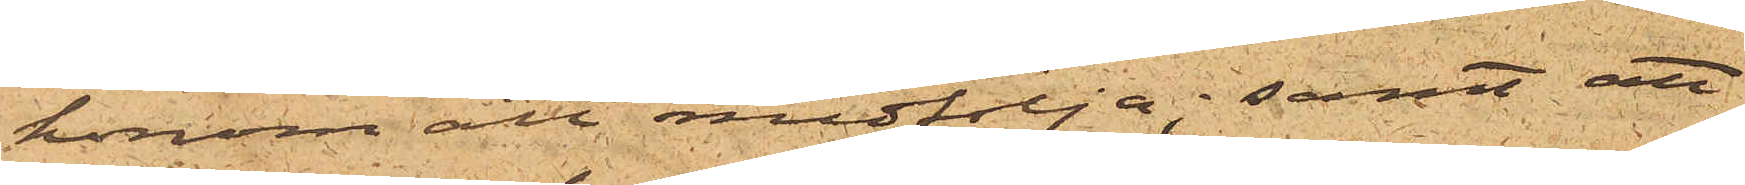honom att medfölja; samt att
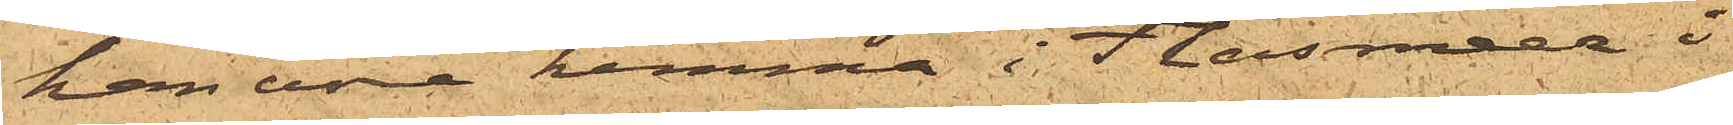han vore hemma i Flensmeer i
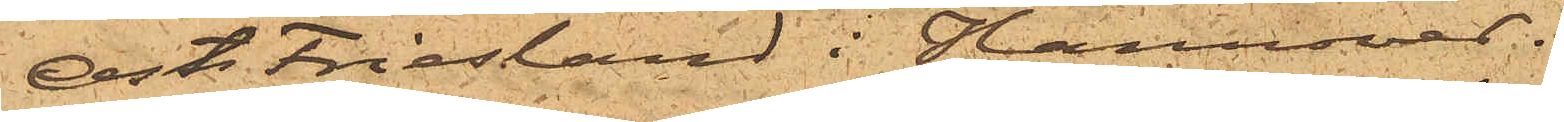Ost Friesland i Hannover.
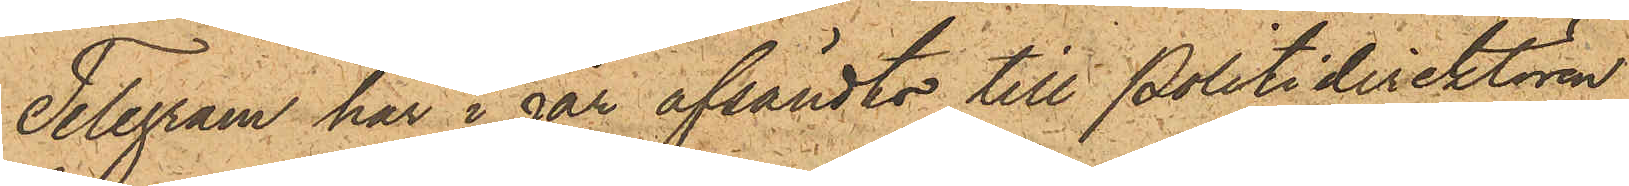Telegram har i går afsändts till Politidirektören
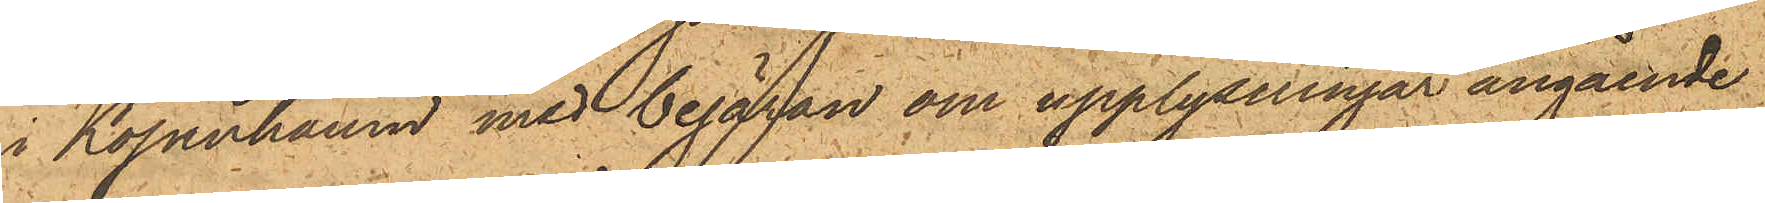i Köpenhamn med begäran om upplysningar angående
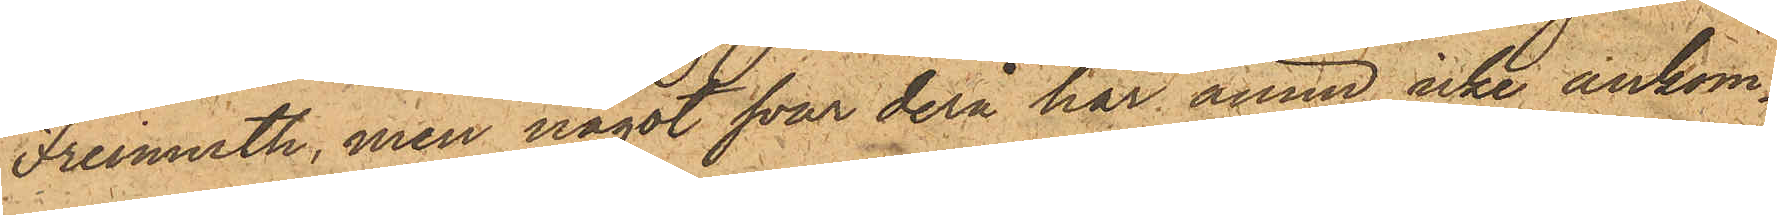Freimoth, men något svar derå har ännu icke ankom¬
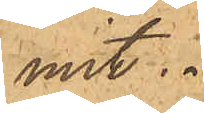mit.
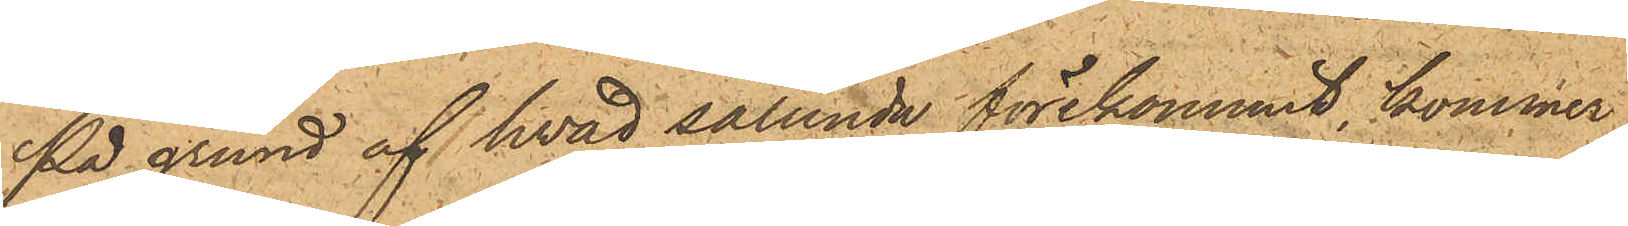På grund af hvad sålunda förekommit, kommer
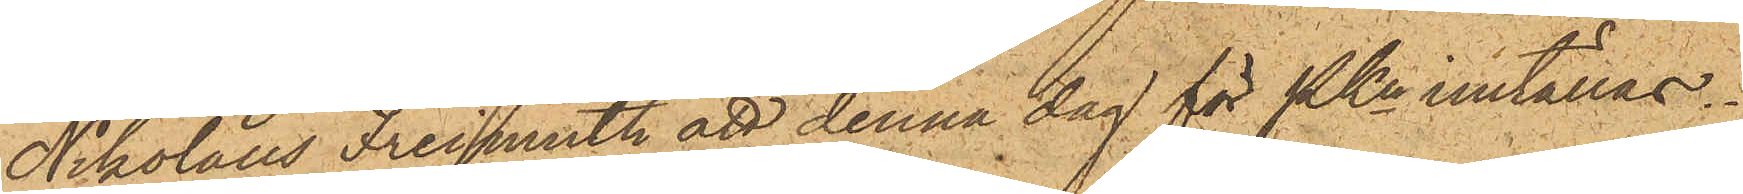Nikolaus Freimoth att denna dag för PKn inställas.
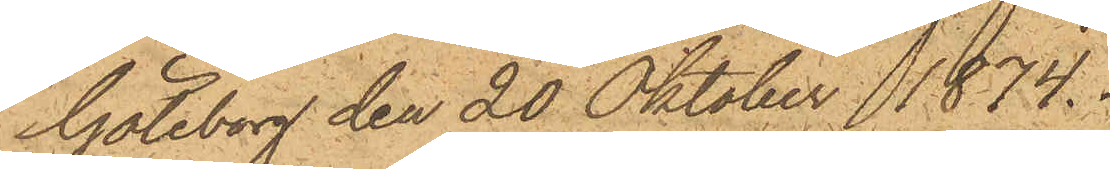Göteborg den 20 Oktober 1874.
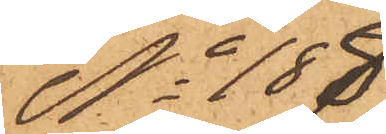No 188
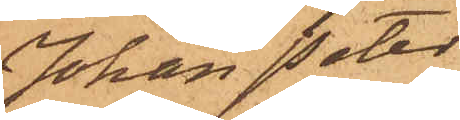Johan Peter
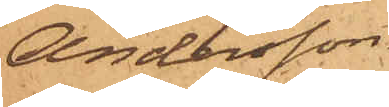Andersson
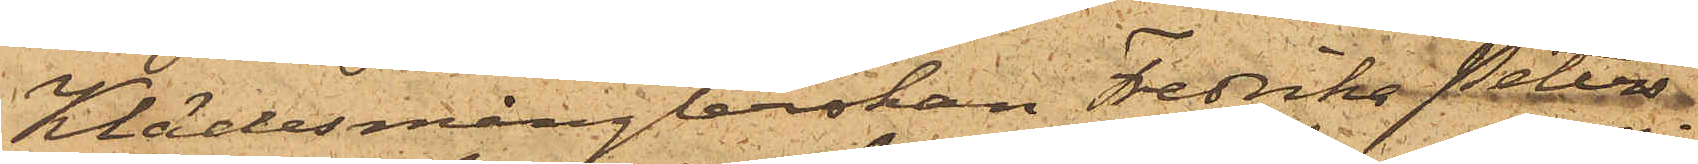Klädesmånglerskan Fredrika Peters¬
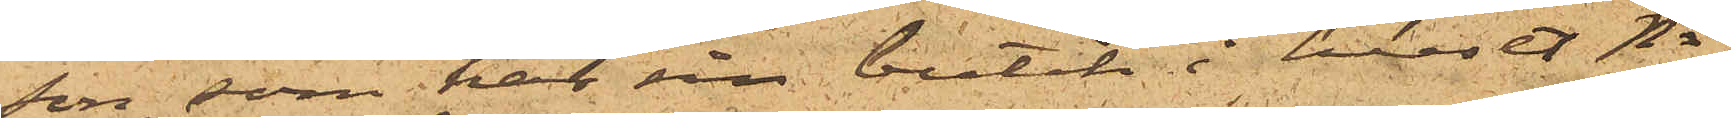son, som har sin butik i huset No
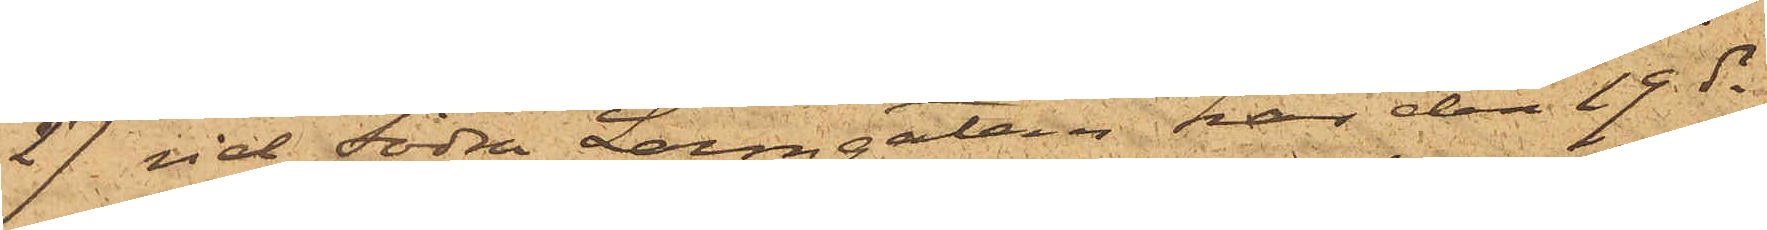27 vid Södra Larmgatan har den 19 ds
